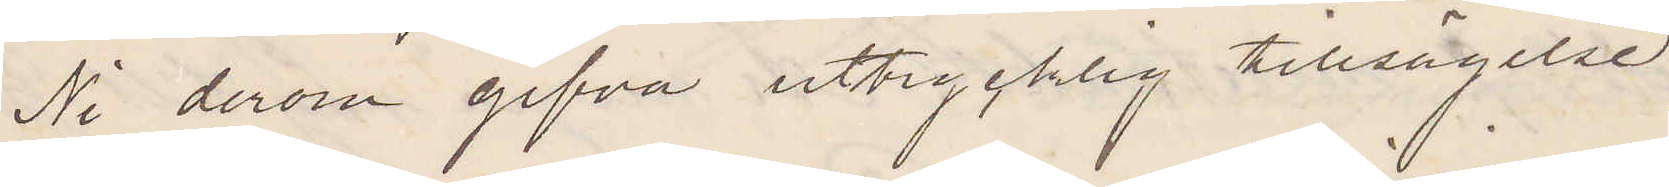Ni derom gifva uttrycklig tillsägelse.
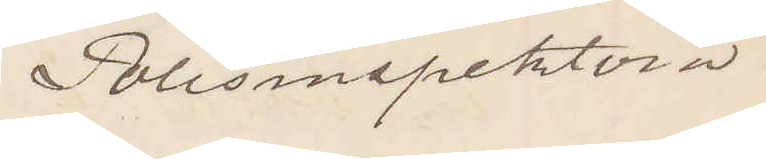Polisinspektorn
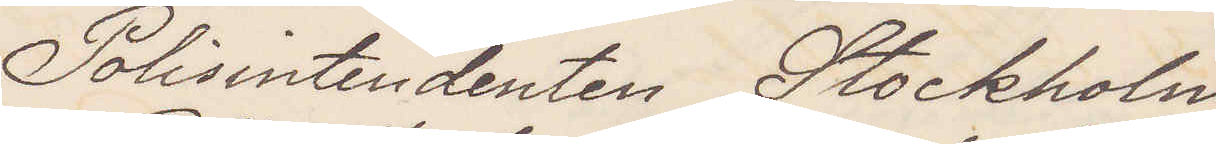Polisintendenten Stockholm
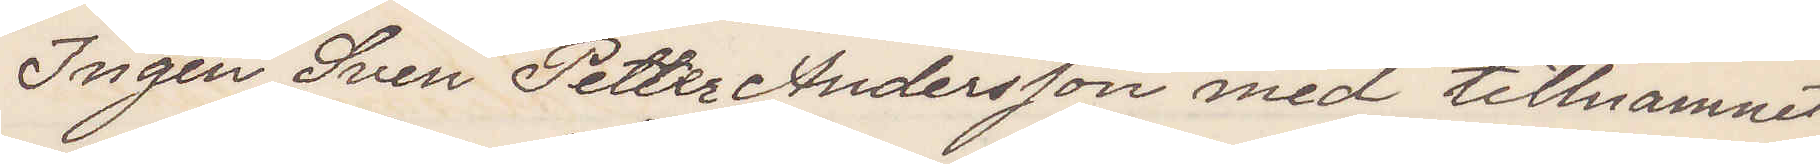Ingen Sven Petter Andersson med tillnamnet
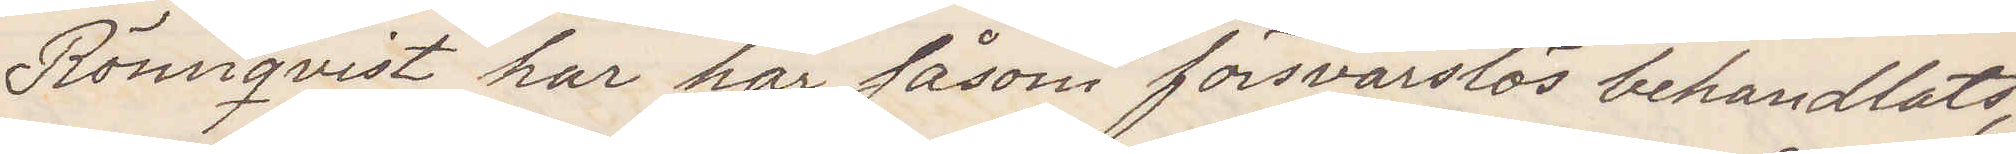Rönnqvist har här såsom försvarslös behandlats,
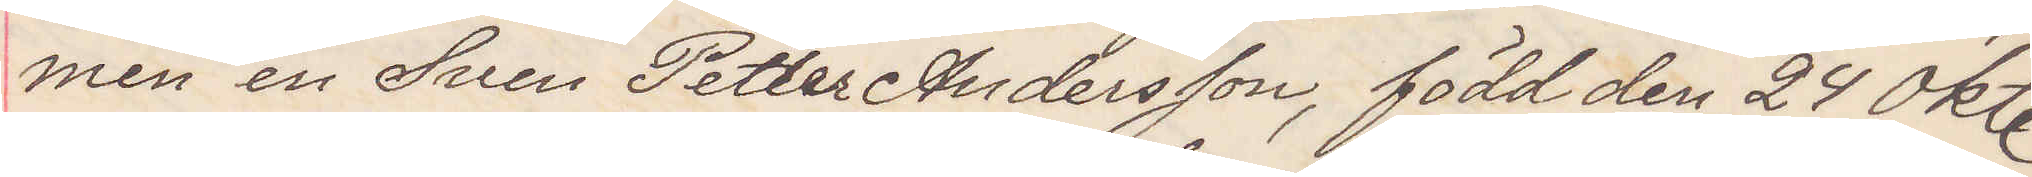men en Sven Petter Andersson, född den 24 okt
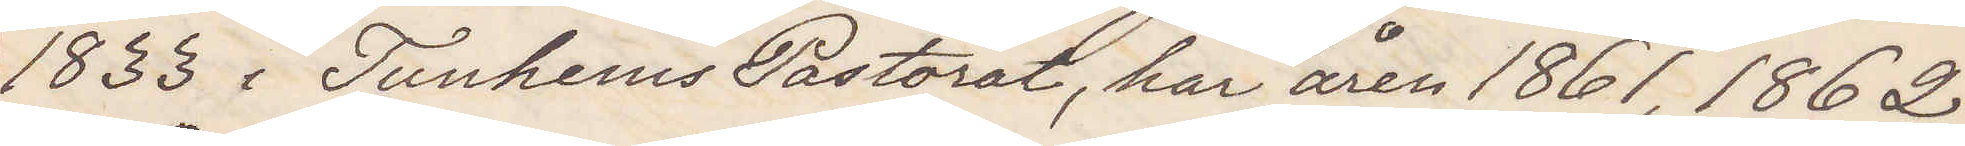1833 i Tunhems Pastorat, har åren 1861, 1862,
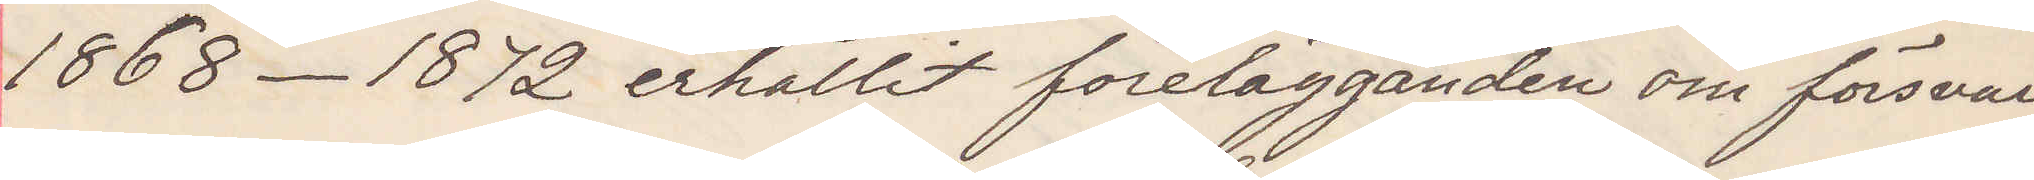1868-1872 erhållit förelägganden om försvar
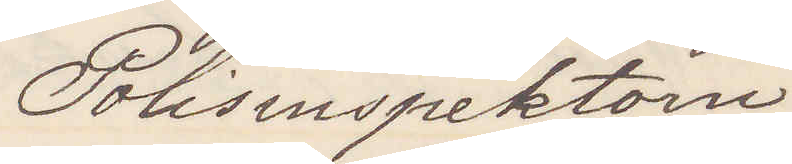Polisinspektorn
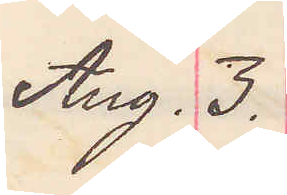Aug. 3.
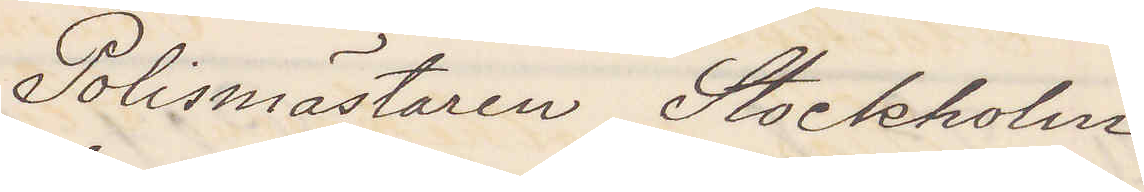Polismästaren Stockholm
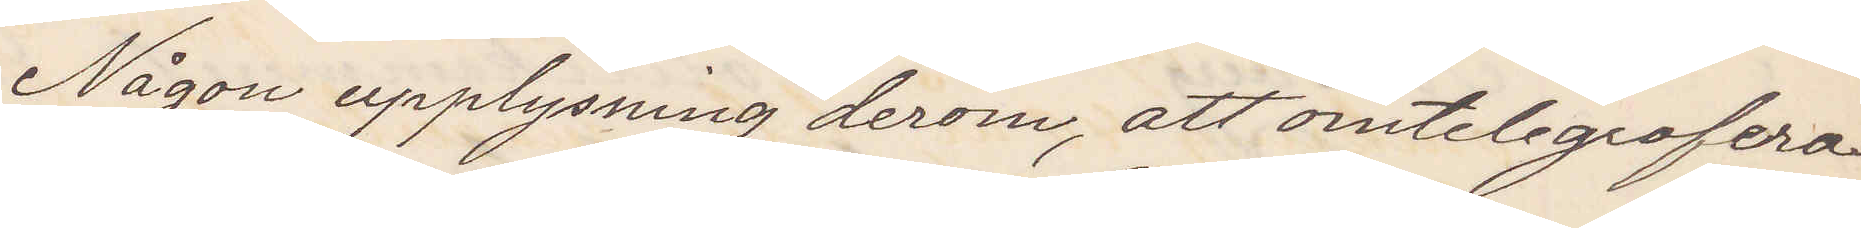Någon upplysning derom, att omtelegrafera¬
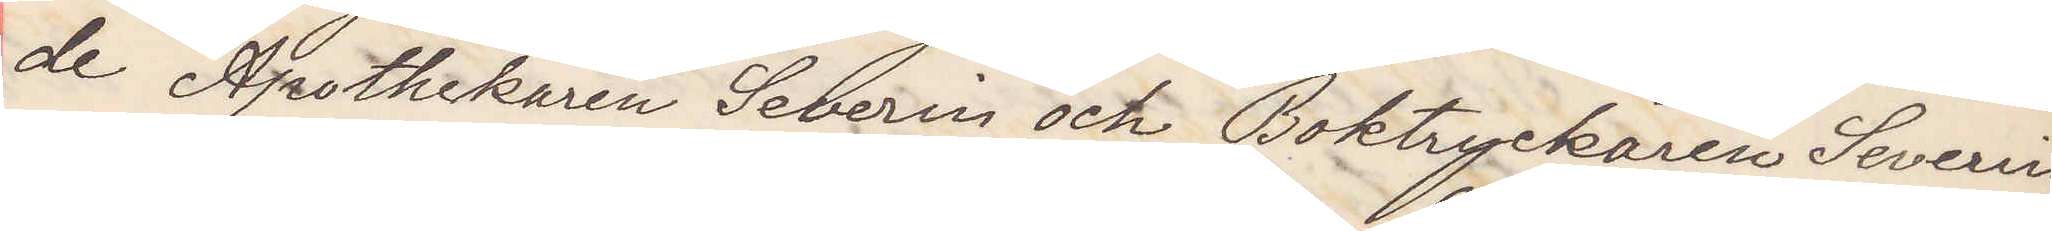de Apothekaren Severin och Boktryckaren Severin
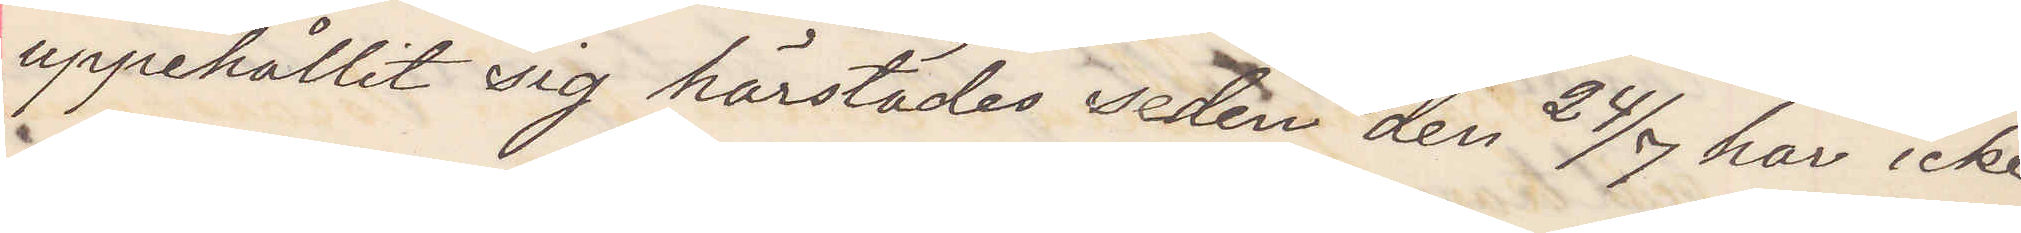uppehållit sig härstädes sedan den 24/7 har icke
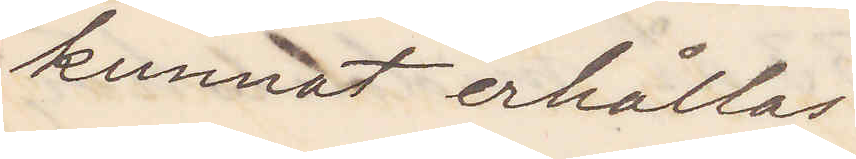kunnar erhållas.
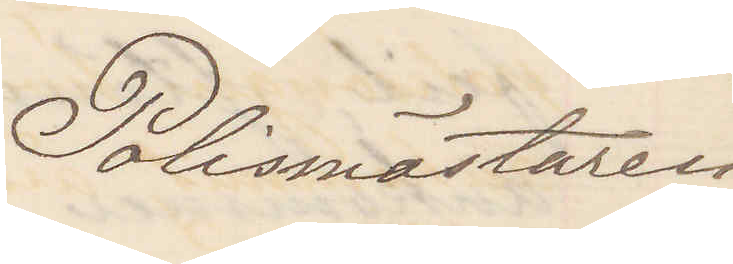Polismästaren
